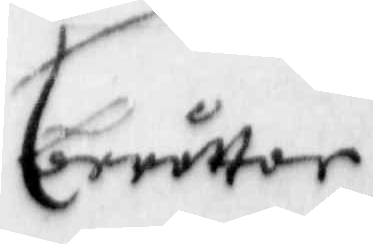berättar
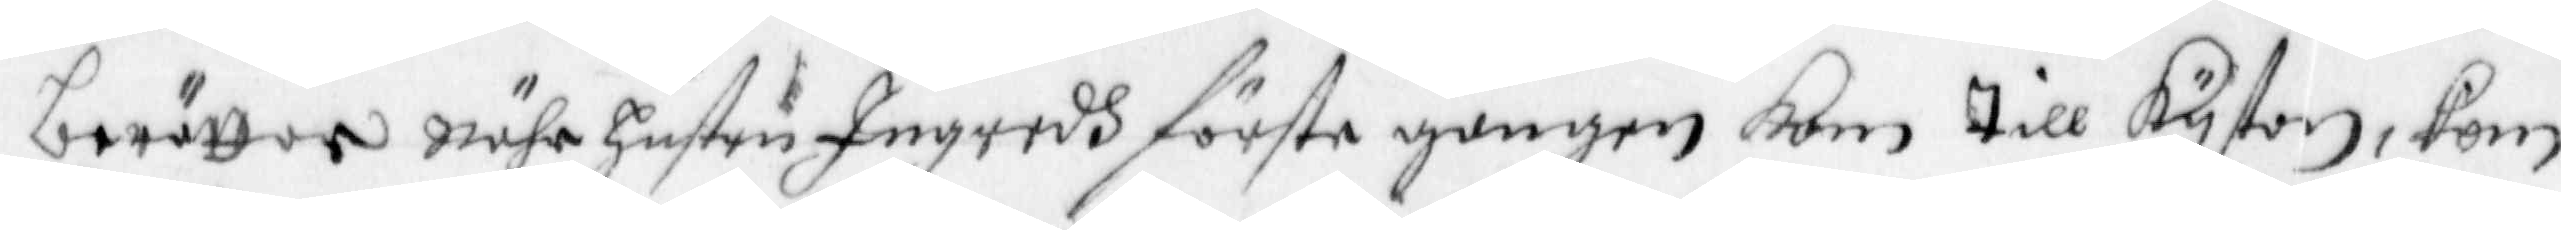berättar Nähr hustru Ingredh förste gången kom till Kystan, kom
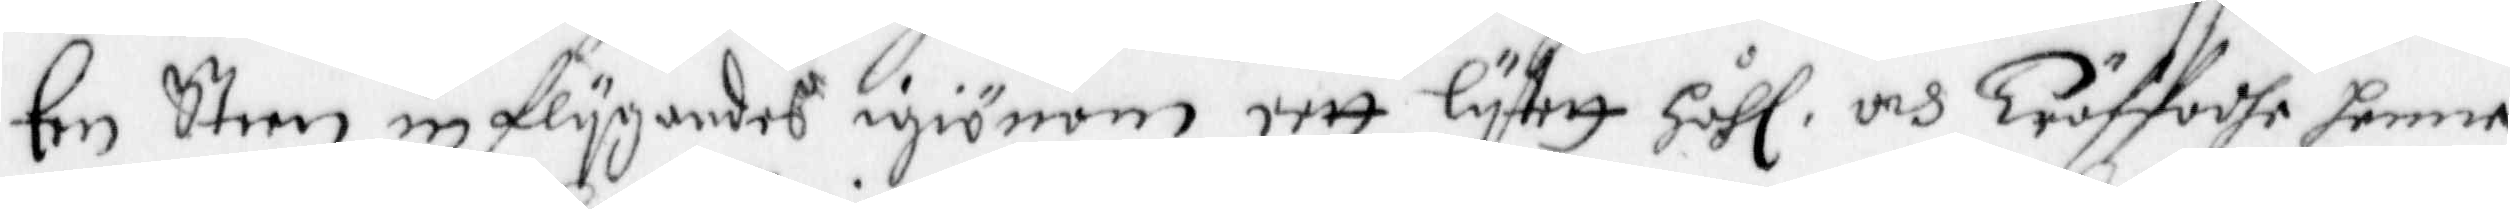Een Steen in flygandes igiönom eett lytett Håhl och Träffadhe henne
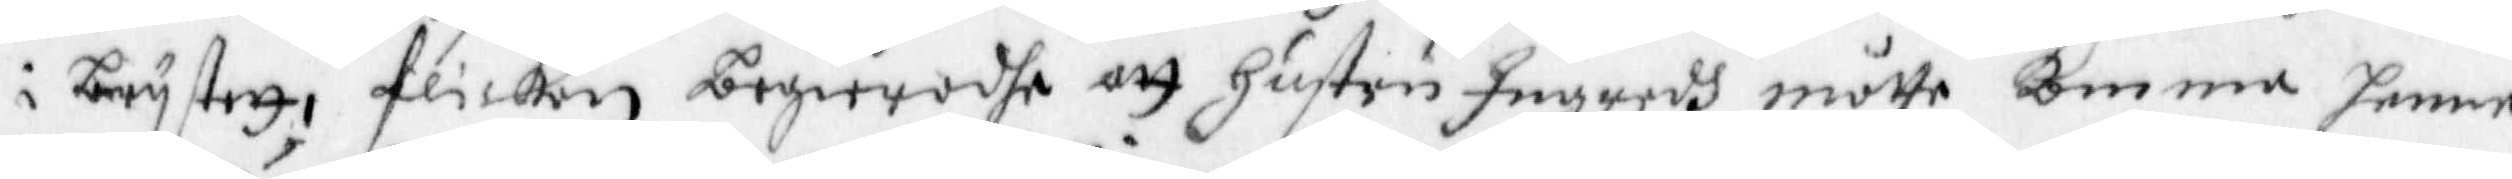i brystett, flickan begieradhe att Hustru Ingredh måtte komma henne
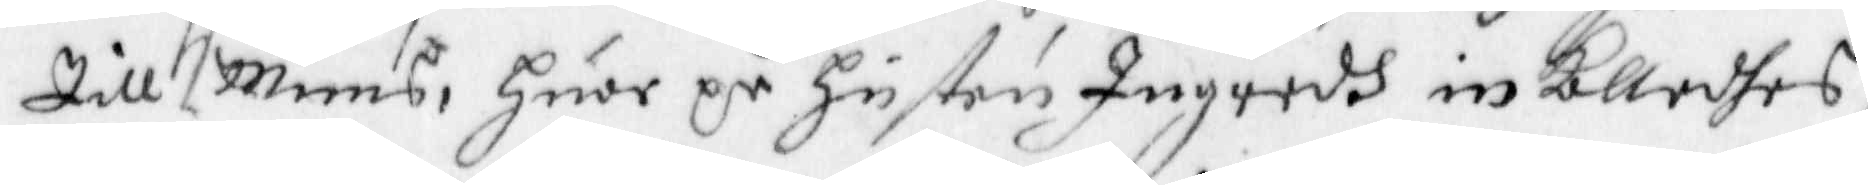Till Muns, huar på Hustru Ingredh in kalladhes,
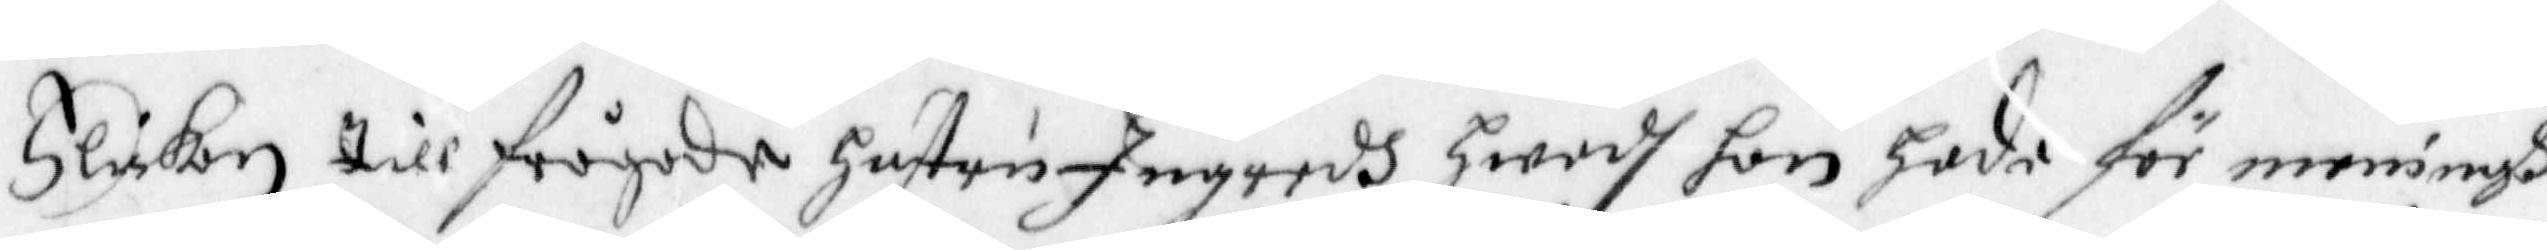Flikan till frågade Hustru Ingredh hwadh hon hade för meningh
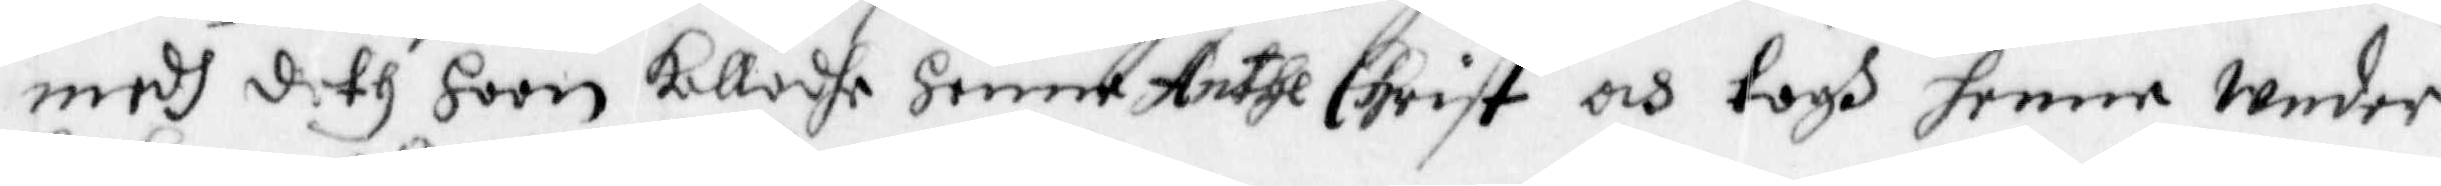medh deth hoon kalladhe Henne Anthe Christ och togh henne Under
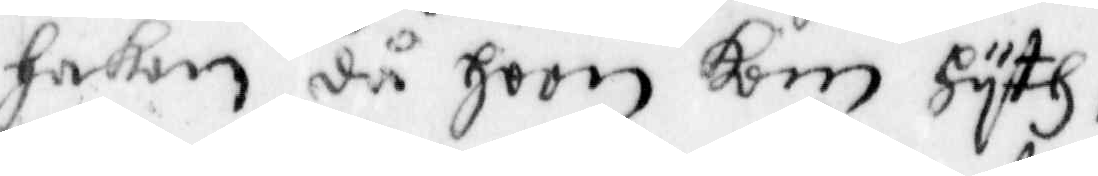hakan då hoon kom hyth,
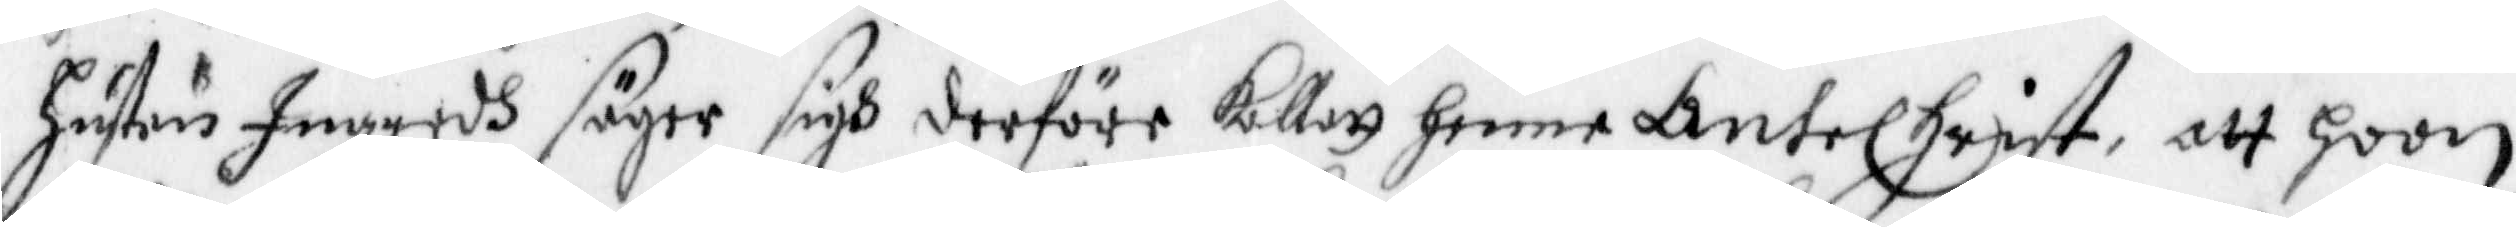Hustru Ingredh säger sigh derföre kallat henne AnteChrist, att hoon
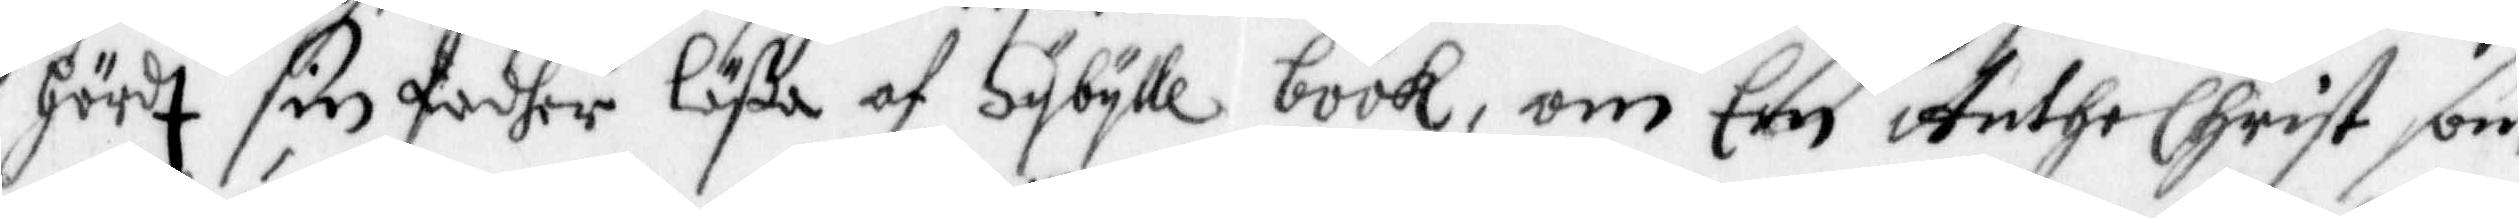hördt sin fadher läßa af Sybylle book, om Een Anthe Christ som
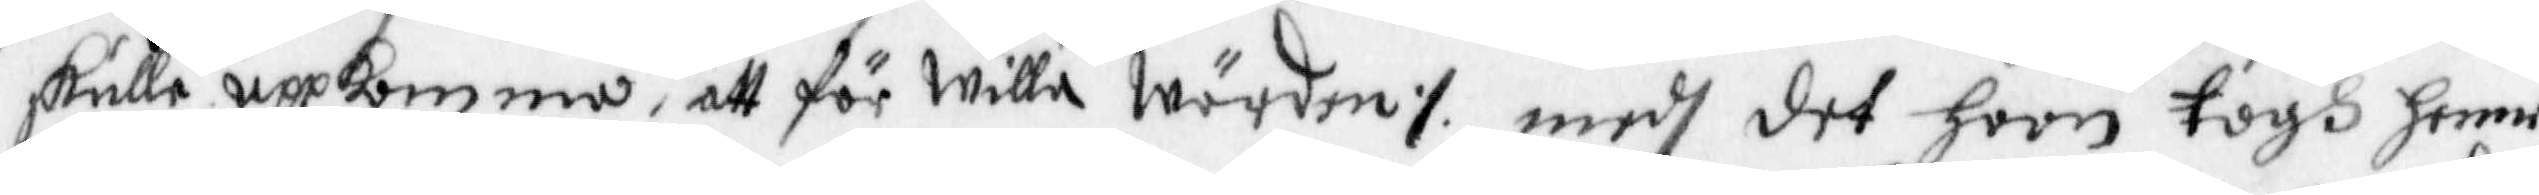skulle uppkomma, att för willa Wärden ./. medh det hoon togh henne
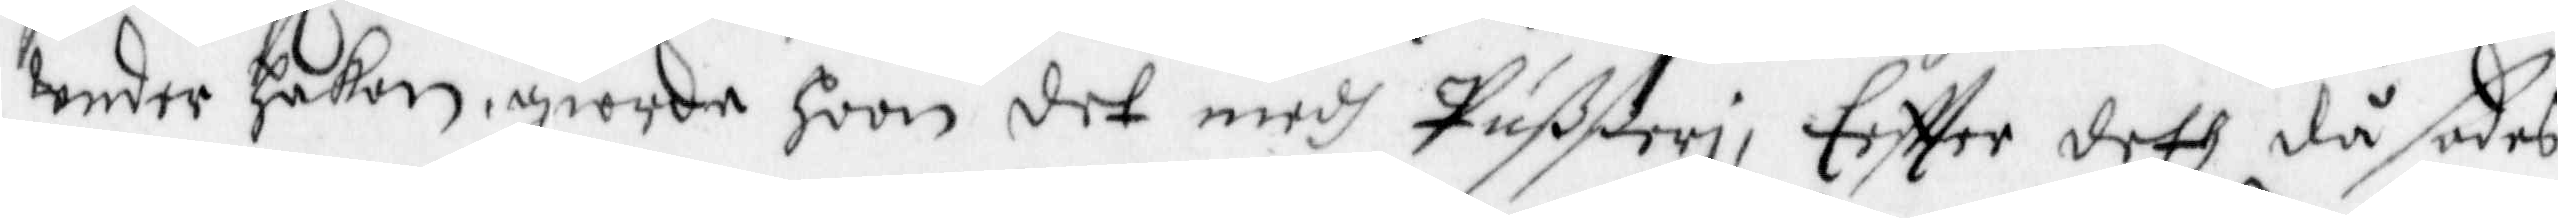under Hakan, giorde hoon det medh Pußßeri, Effter deth då sades
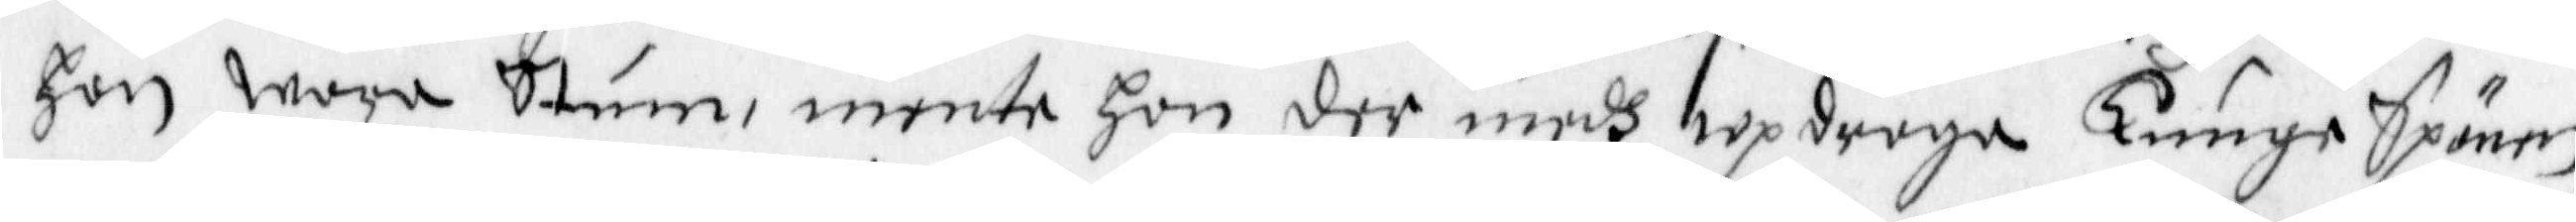hon wore Stum, mente hon der medh updraga Tunge Spänen,
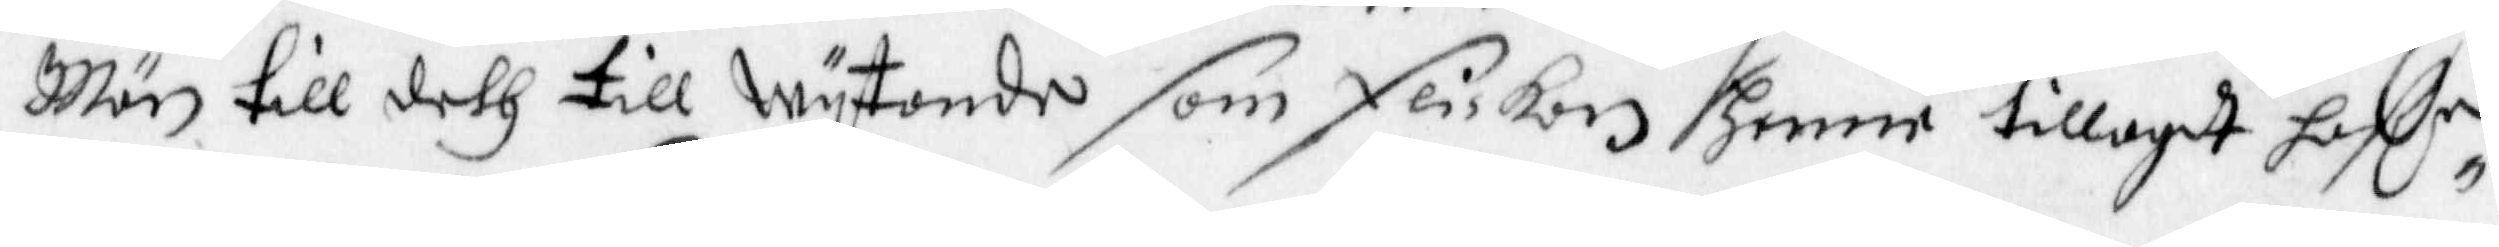Män till deth till wytande som flickan henne tillagdt haffr
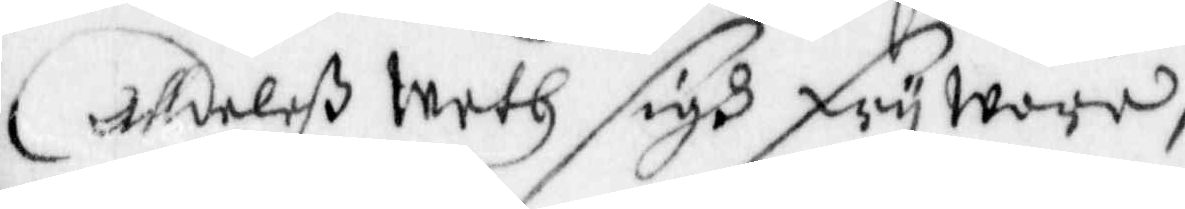Alldelß weth sigh fry wara,
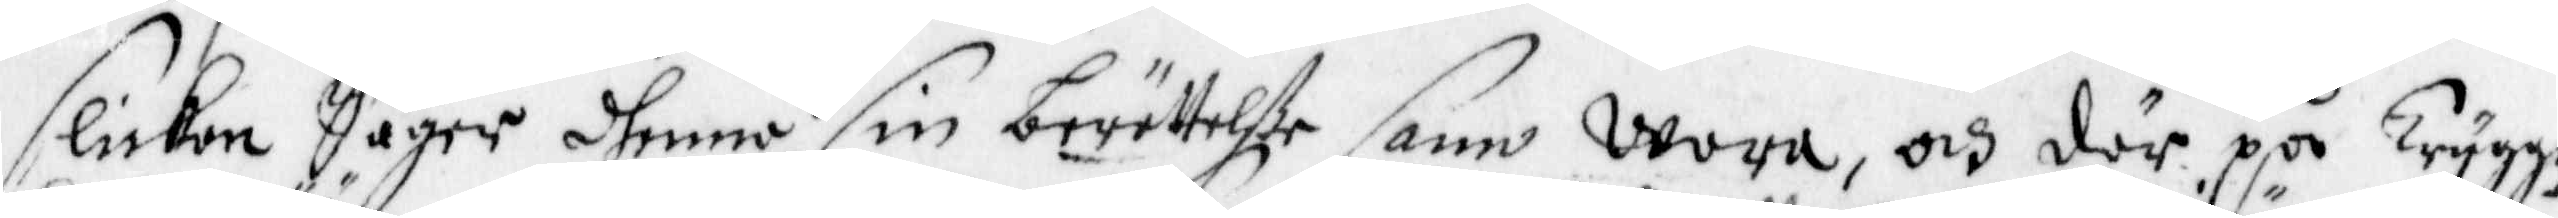Flickan säger dhenne sin berättelße sann wara, och där på Trygge¬
